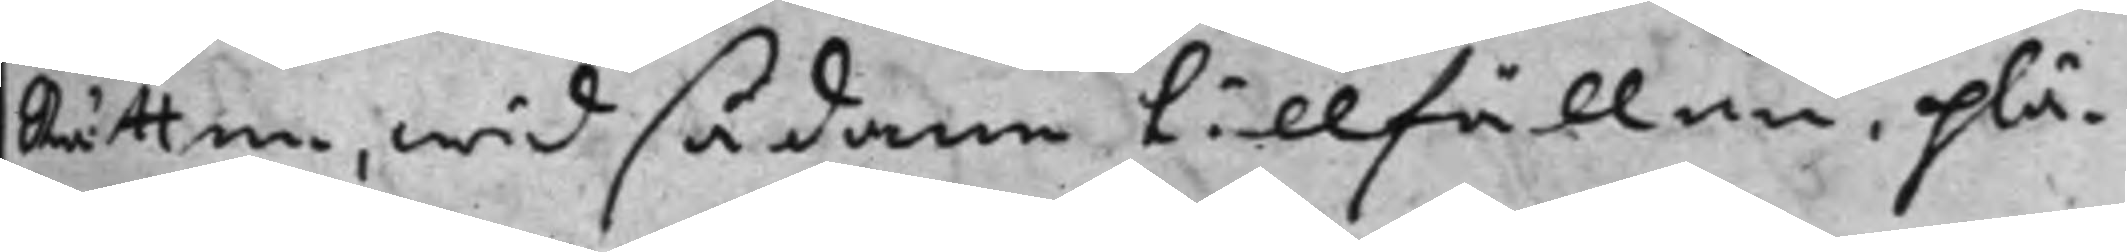Rätten, wid sådane tillfällen, plä¬
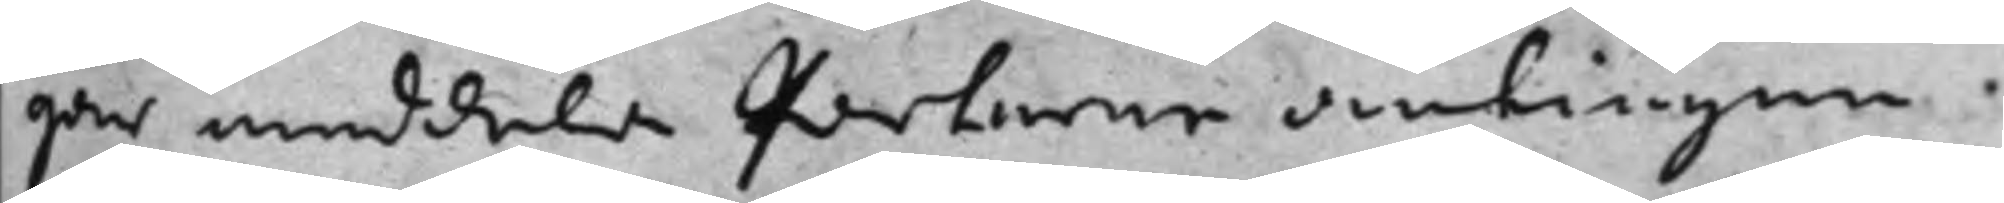gar meddela parterne antingen
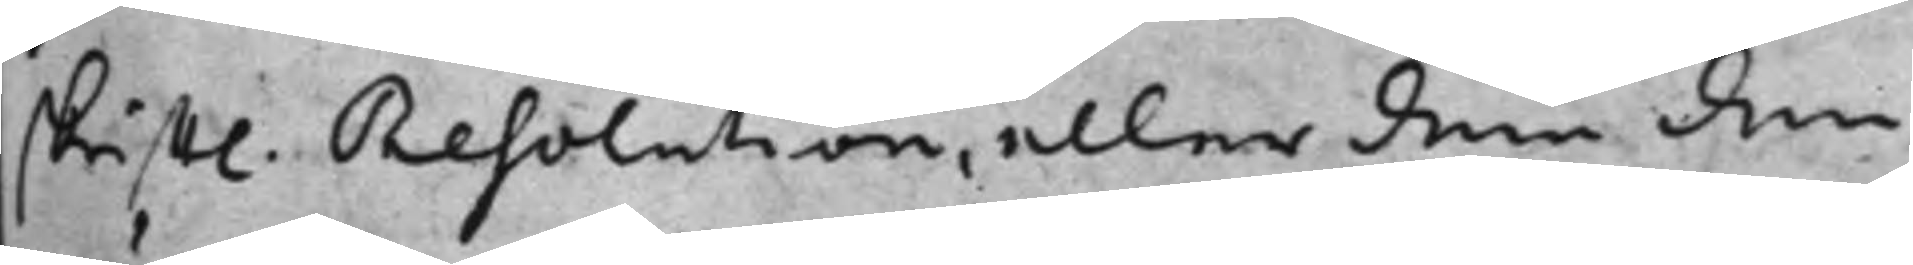skrifftl. Resolution, eller dem den
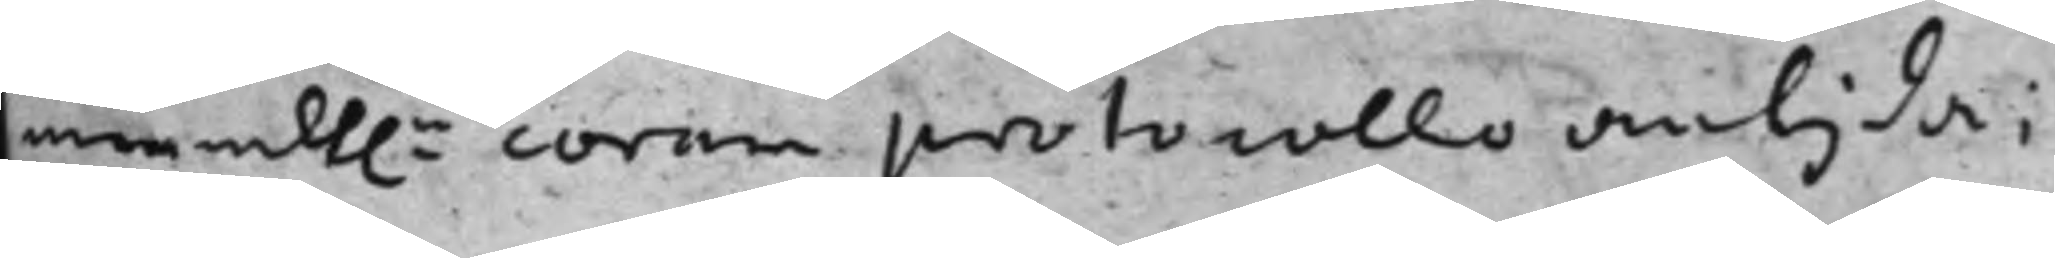mundt.n coram protocollo antyda;
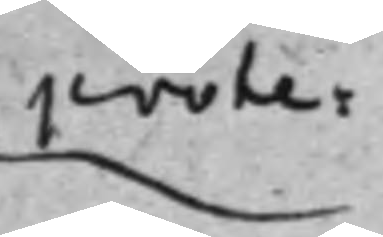prote¬
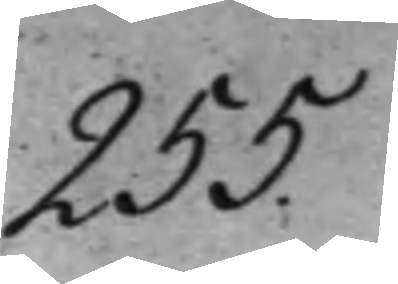255.
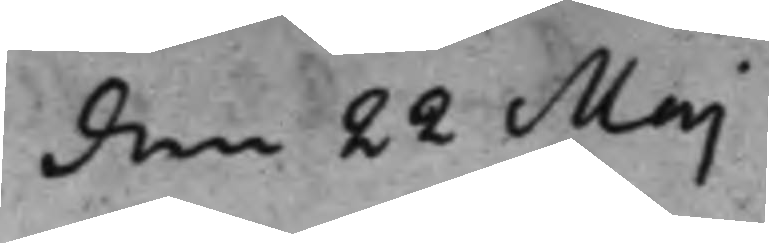den 22 Maj
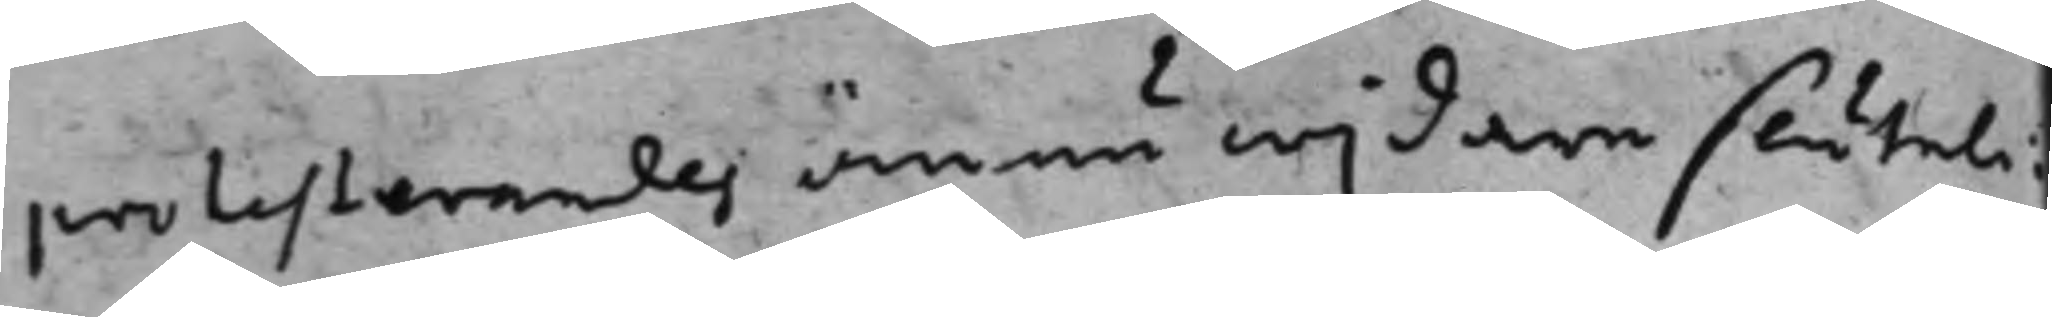protesterandes ännu wijdare sluteli¬
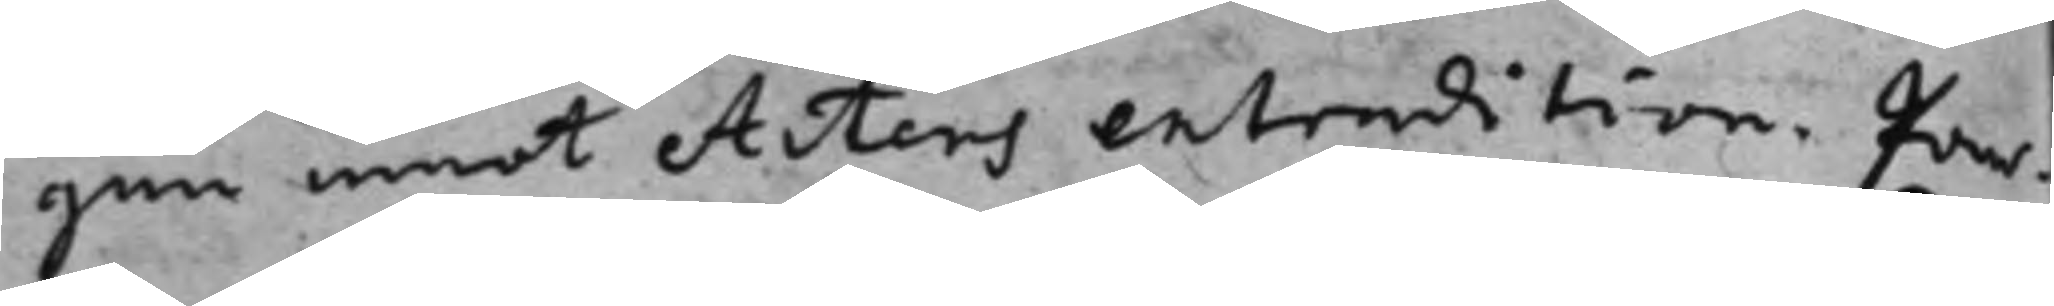gen emot Acters entendition. Par¬
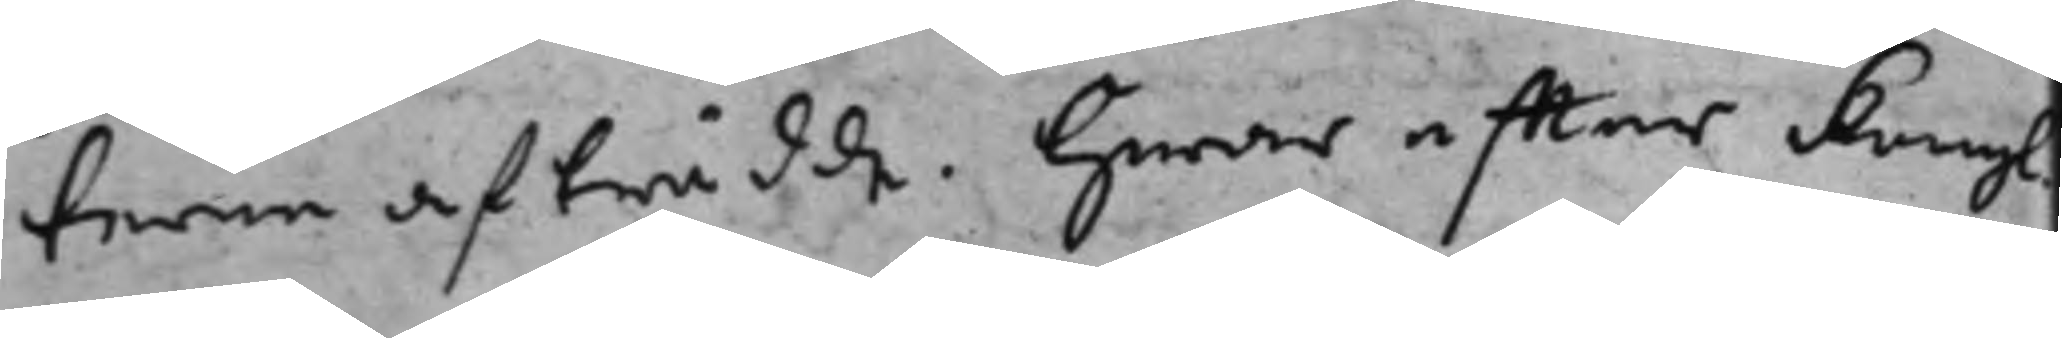terne afträdde. Hwar effter Kongl.
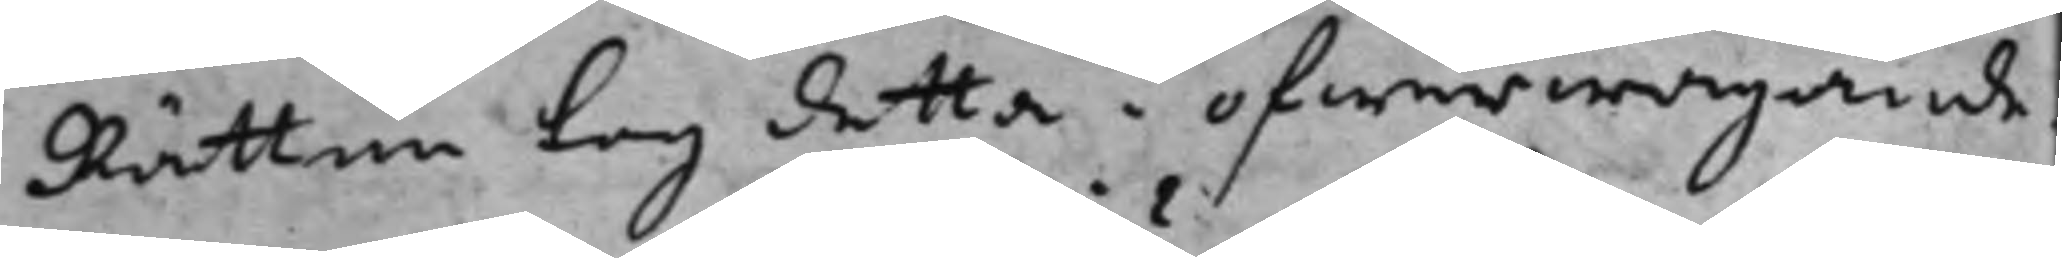Rätten tog detta i öfwerwägande.
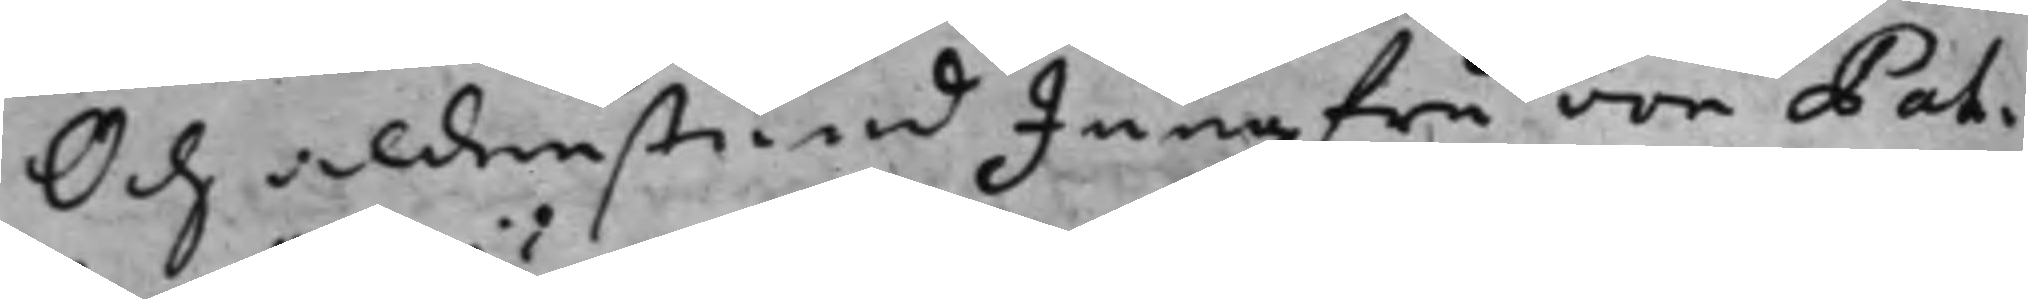Och aldenstund Jungfru von Pah¬
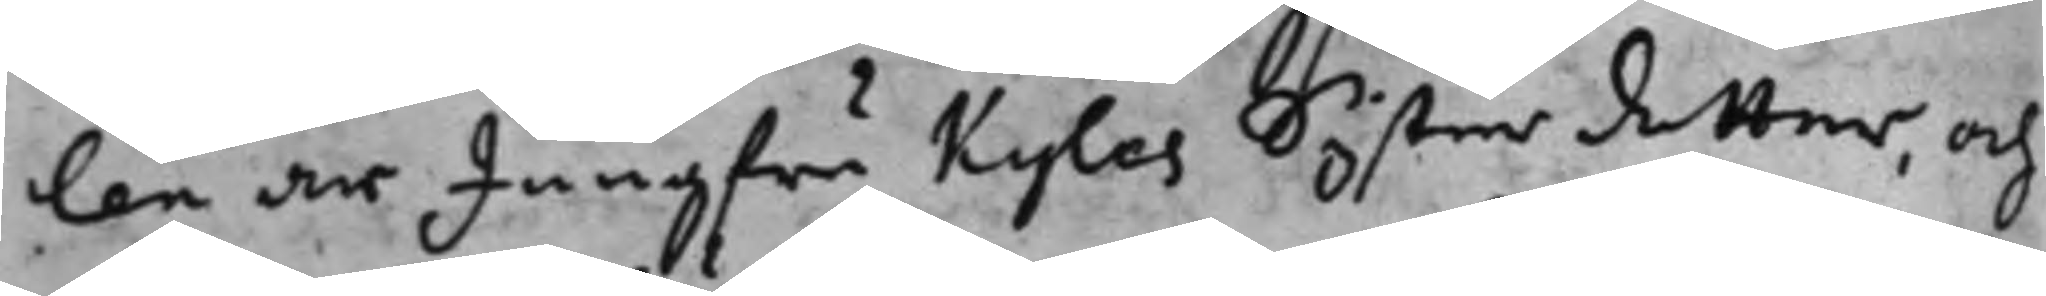len är Jungfru Kyles systerdotter, och
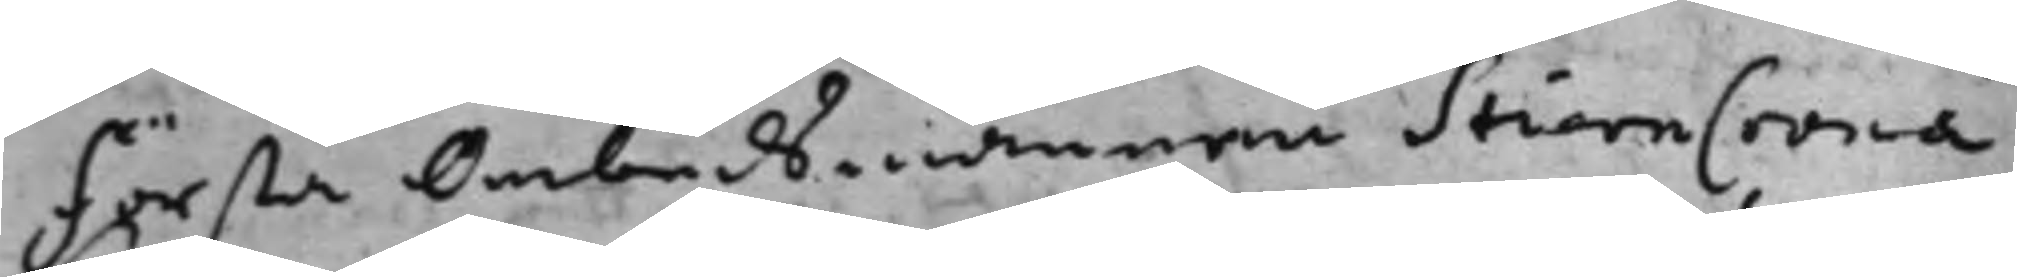första Ombudsmannen StiernCrona
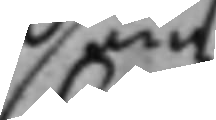som
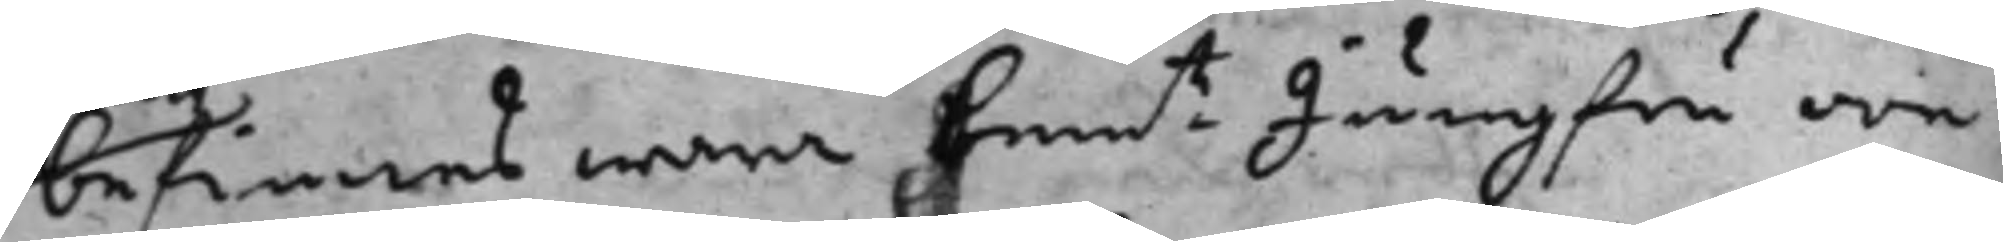befinnes wara bemt- Jungfru von
